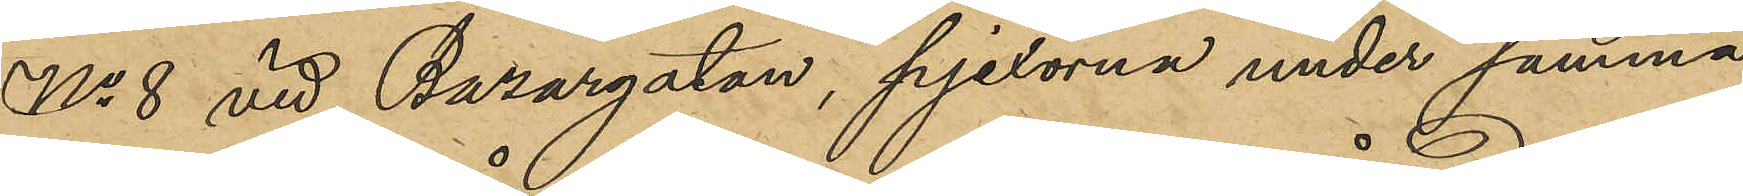No 8 vid Bazargatan, pjexorna under samma
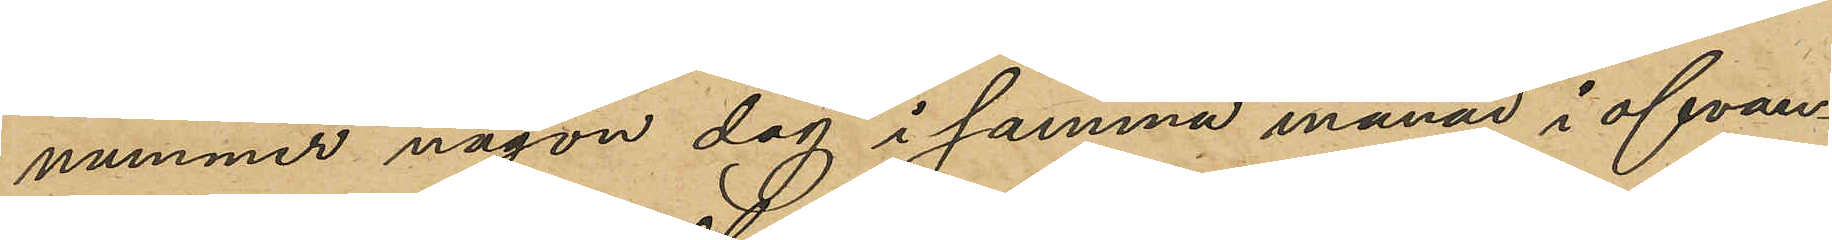nummer någon dag i samma månad i ofvan¬
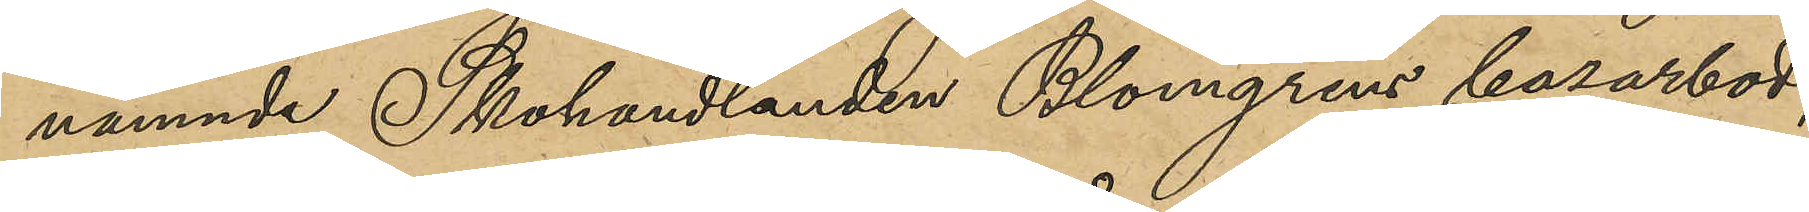nämnde Skohandlanden Blomgrens bazarbod;
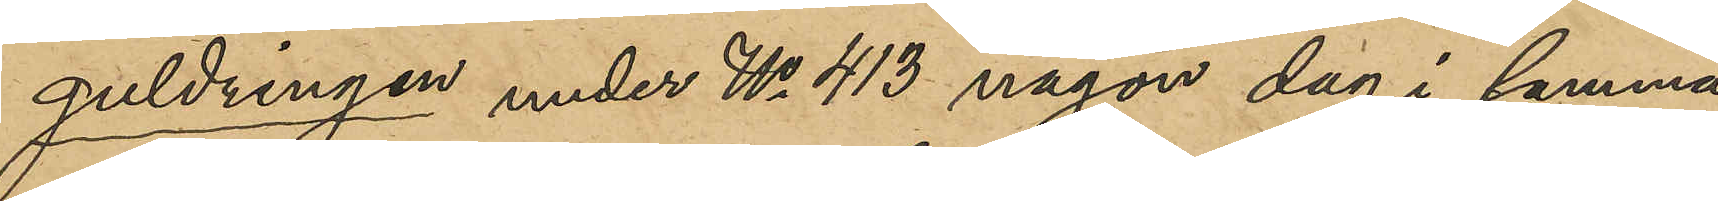guldringen under No 413 någon dag i samma
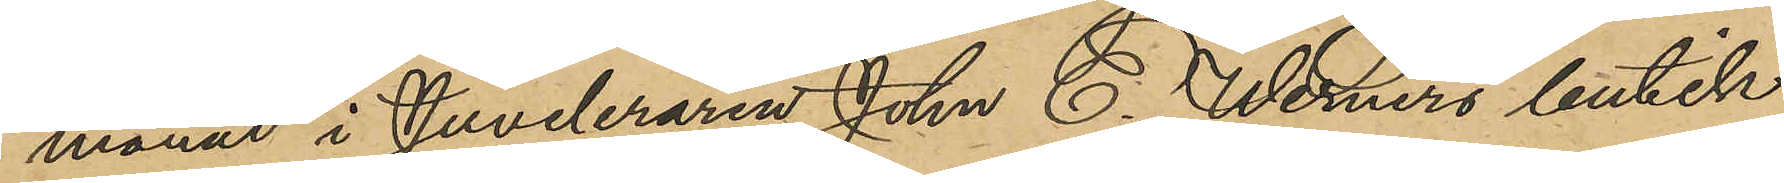månad i Juveleraren John E. Werners butik
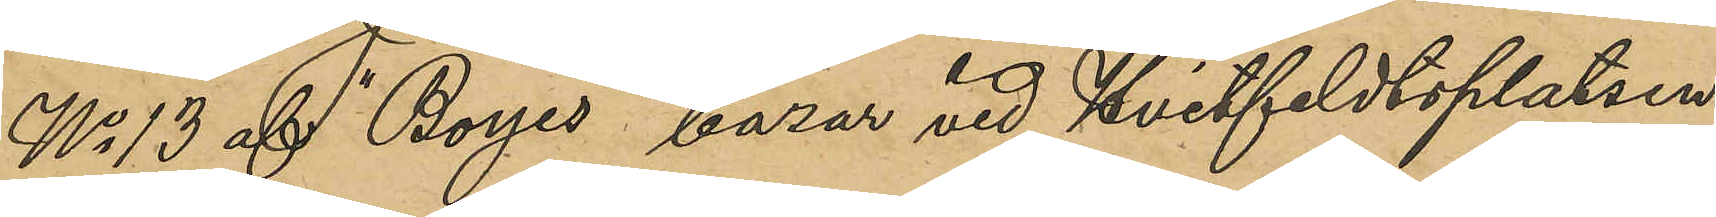No 13 af "Boyes" bazar vid Hvitfeldtsplatsen;
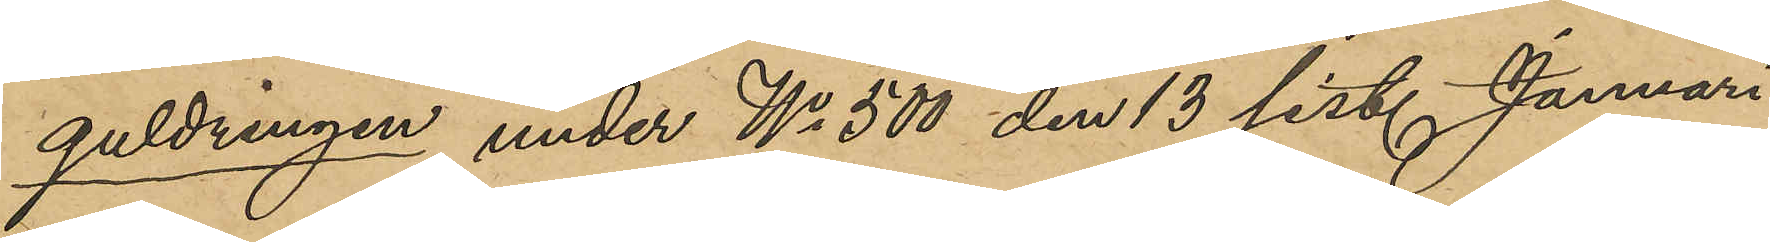guldringen under No 500 den 13 sist. Januari
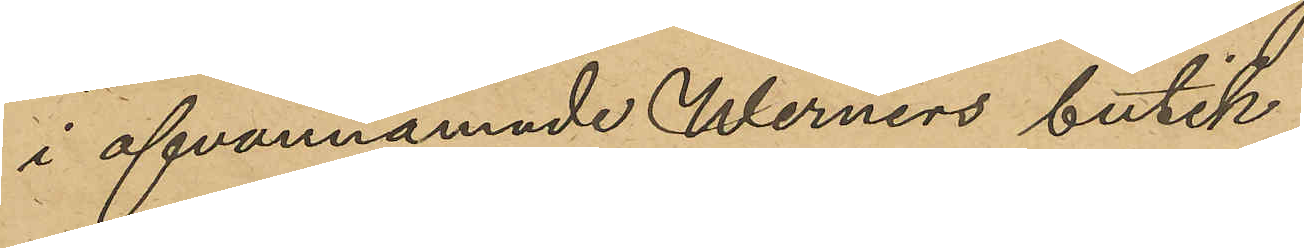i ofvannämnde Werners butik;
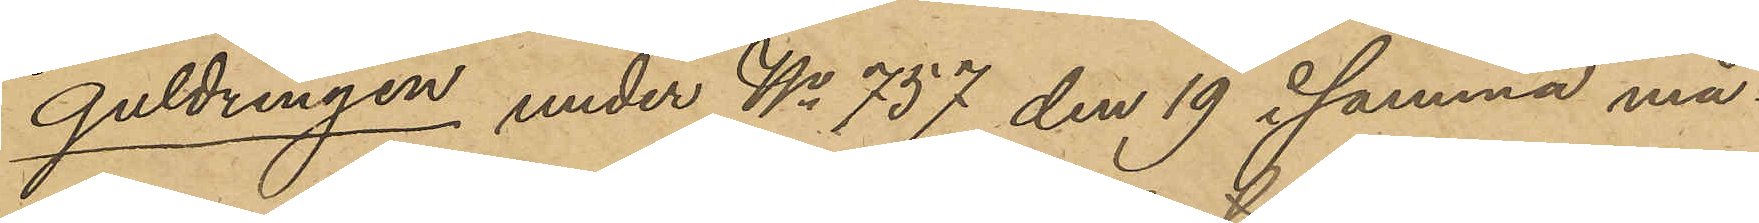guldringen under No 757 den 19 i samma må¬
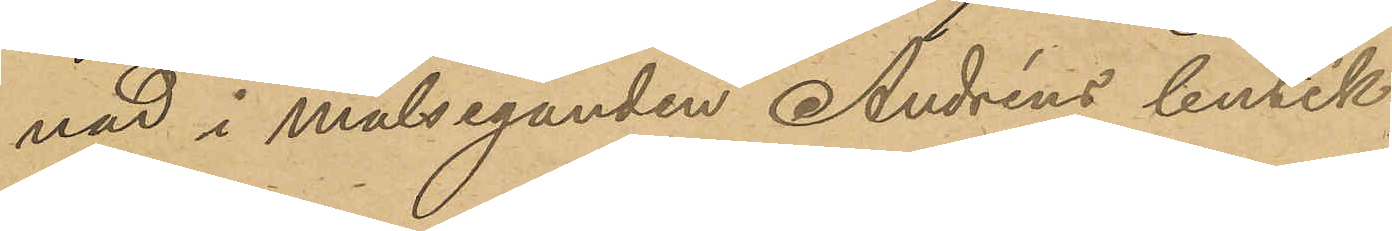nad i målseganden Andréns butik,
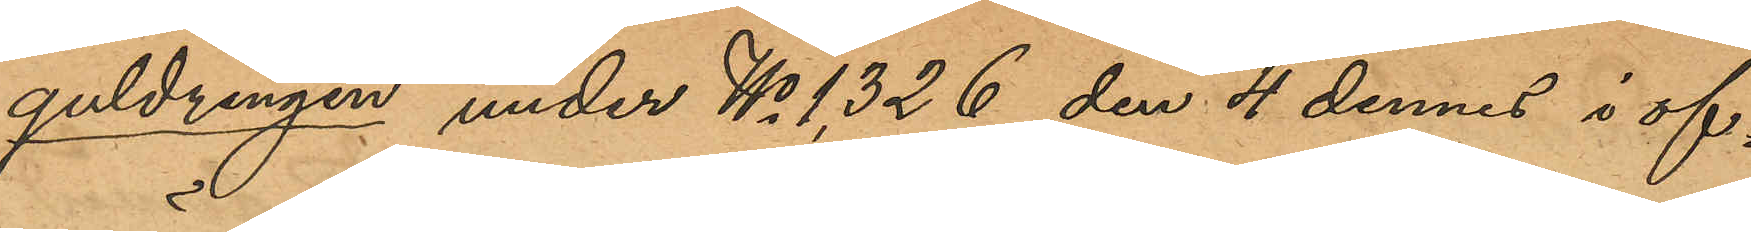guldringen under No 1,326 den 4 dennes i of¬
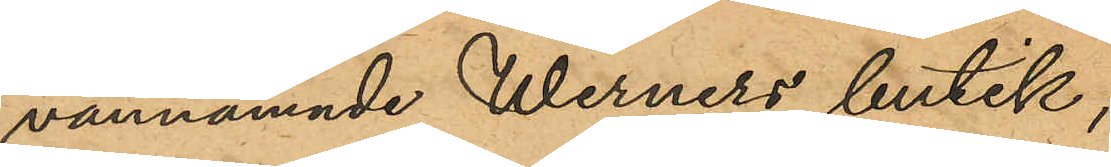vannämnde Werners butik;
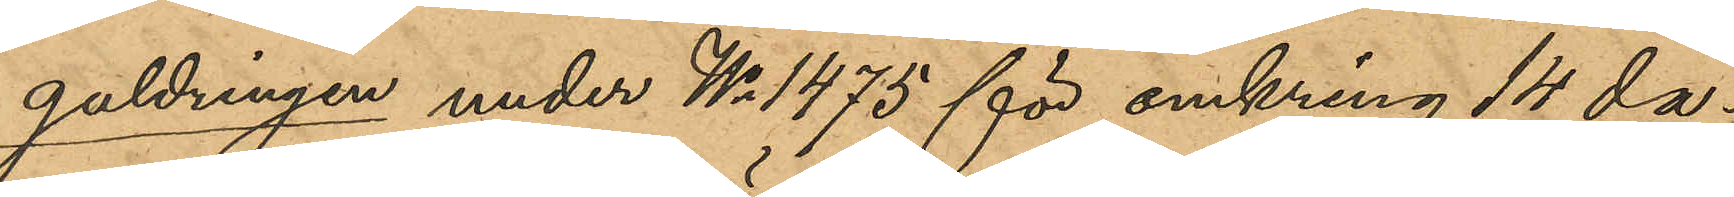guldringen under No 1475 för omkring 14 da¬
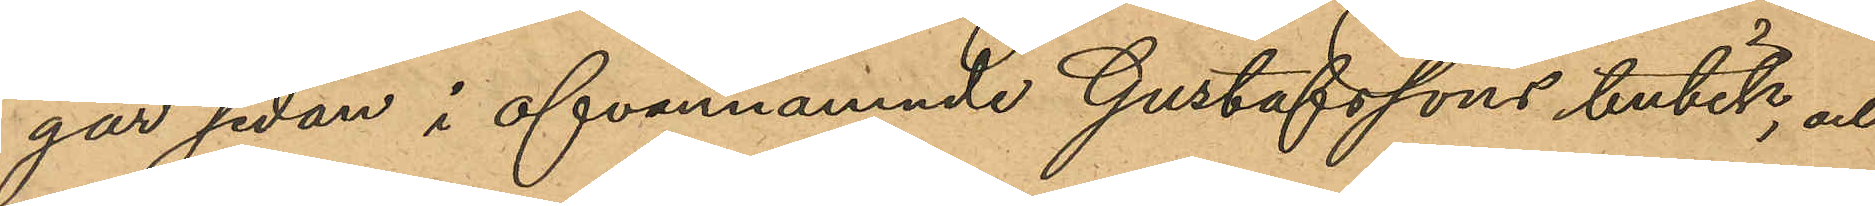gar sedan i ofvannämnde Gustafssons butik, och
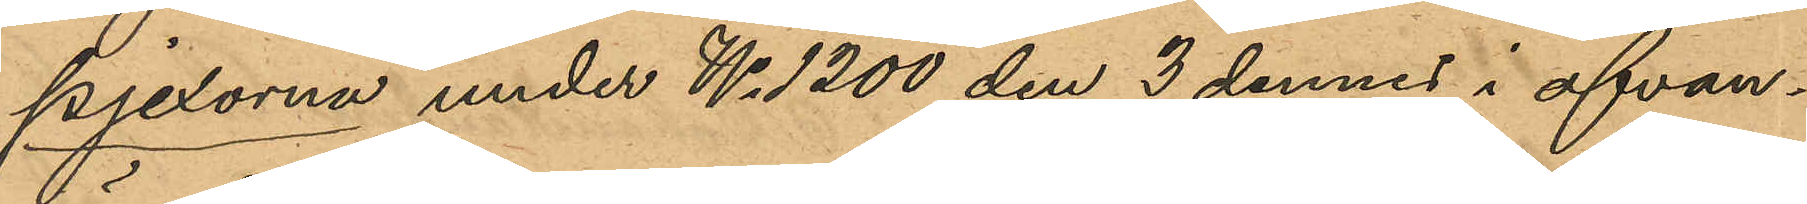pjexorna under No 1200 den 3 dennes i ofvan¬
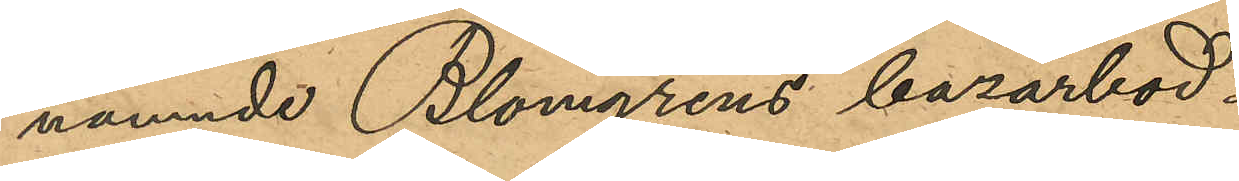nämnde Blomgrens bazarbod.
